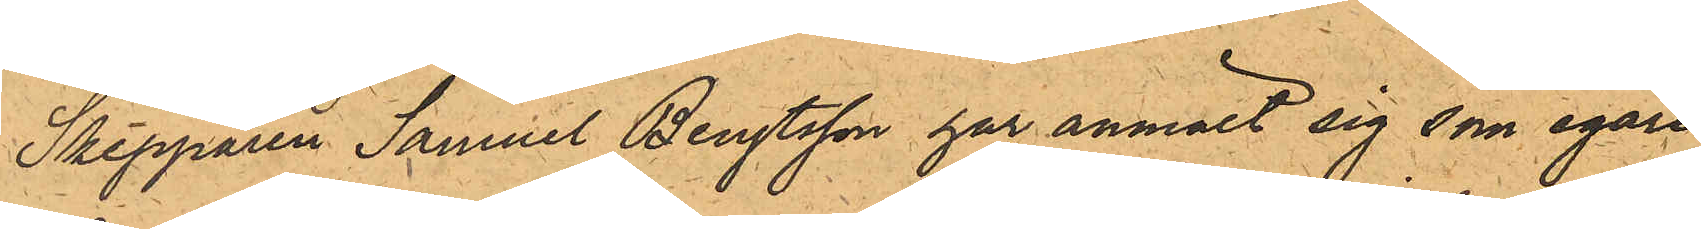Skepparen Samuel Bengtsson har anmält sig som egare
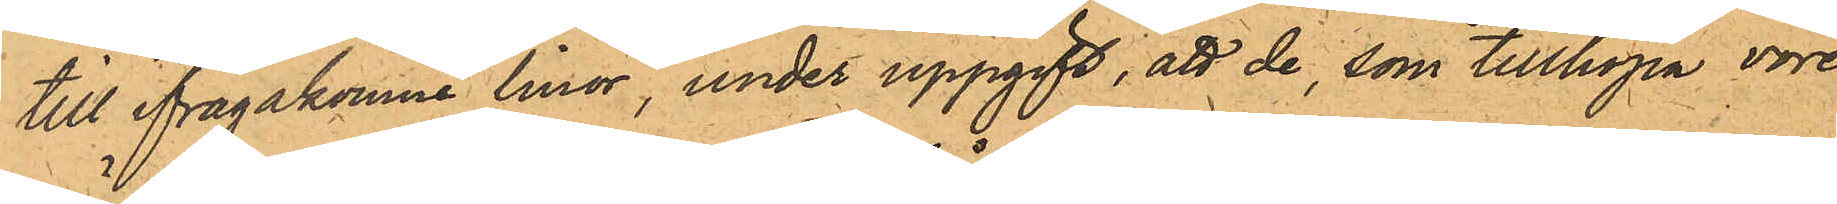till ifrågakomne linor, under uppgift, att de, som tillhopa vore
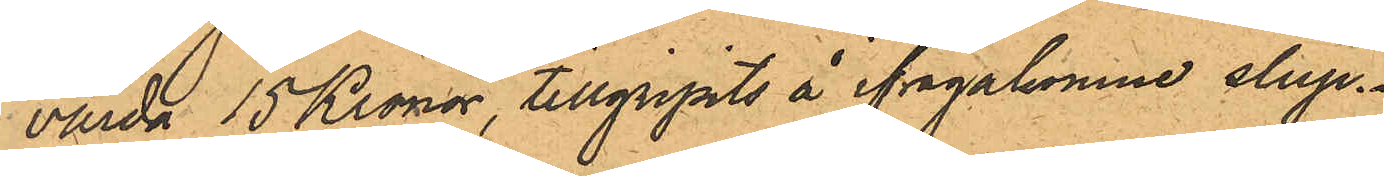värda 15 Kronor, tillgripits å ifrågakomne slup¬
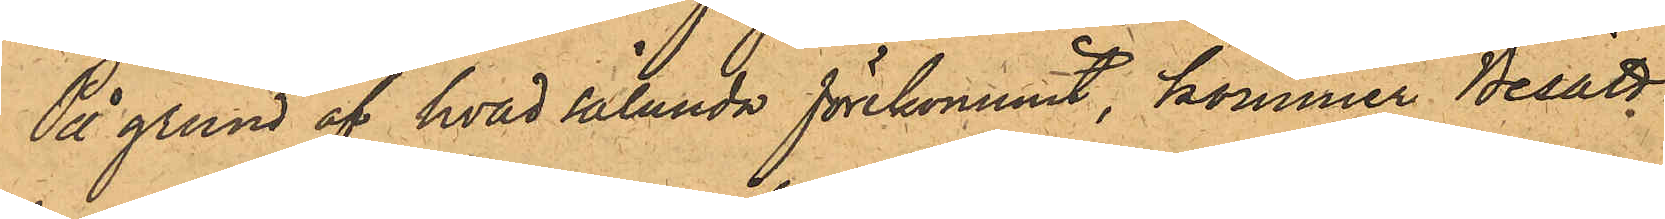På grund af hvad sålunda förekommit, kommer Besätt¬
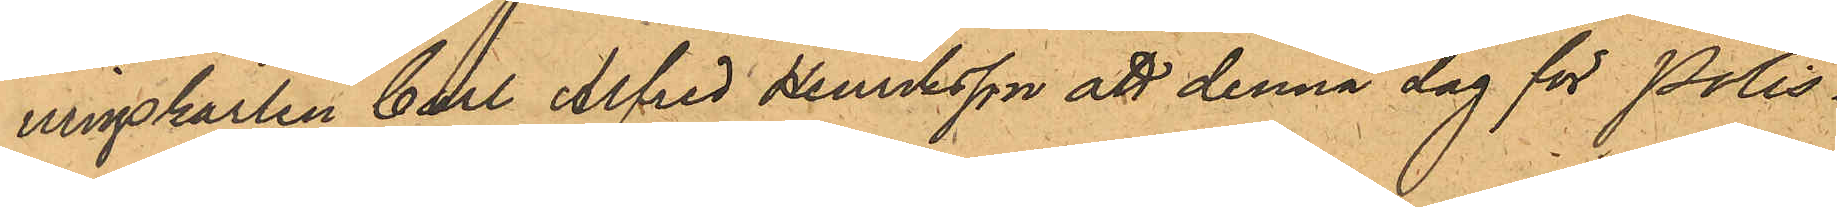ningskarlen Carl Alfred Henriksson att denna dag för Polis¬
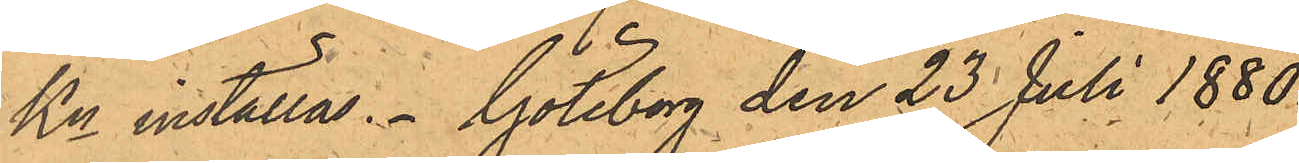Kn inställas. Göteborg den 23 Juli 1880.
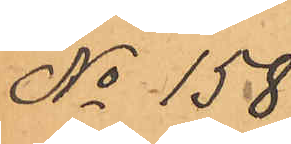No 158
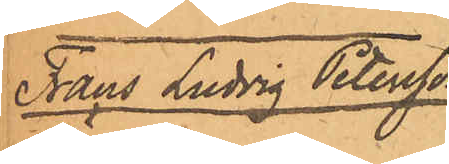Frans Ludvig Petersson
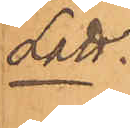Lätt.
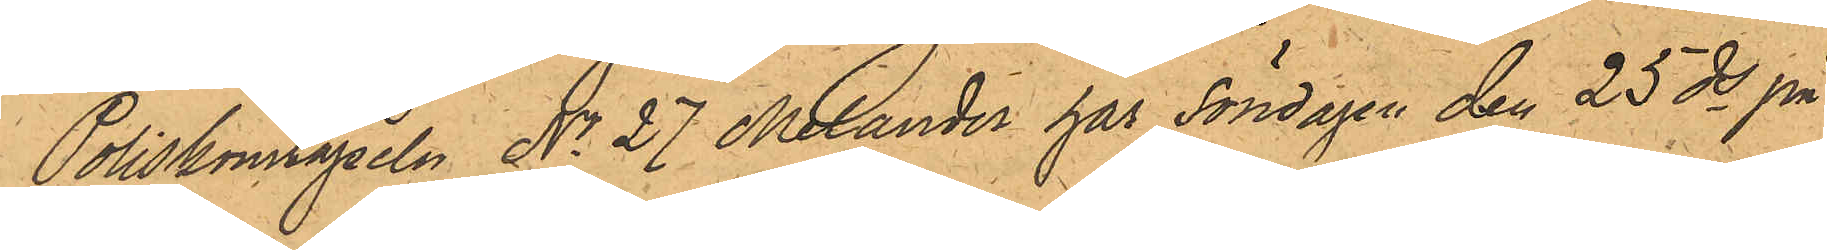Poliskonstapeln No 27 Melander har Söndagen den 25 ds på
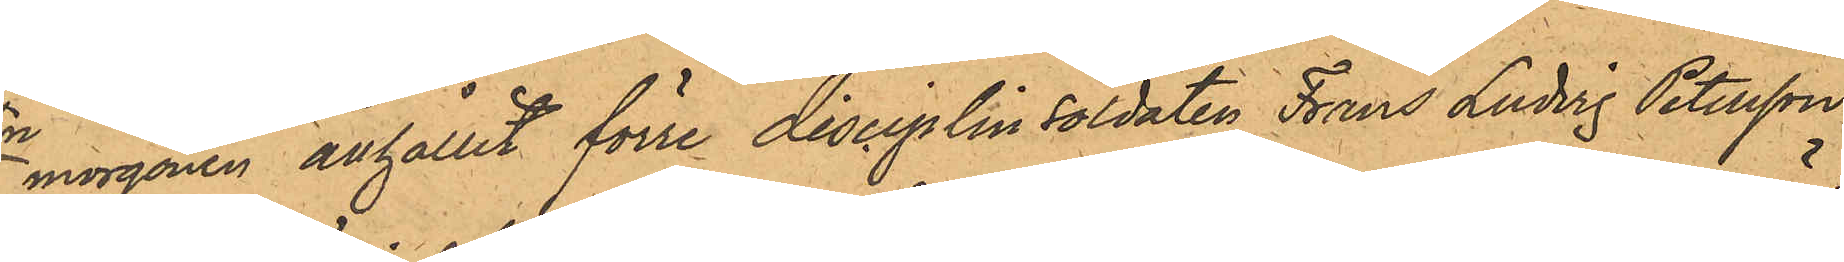morgonen anhållit förre disciplinsoldaten Frans Ludvig Petersson
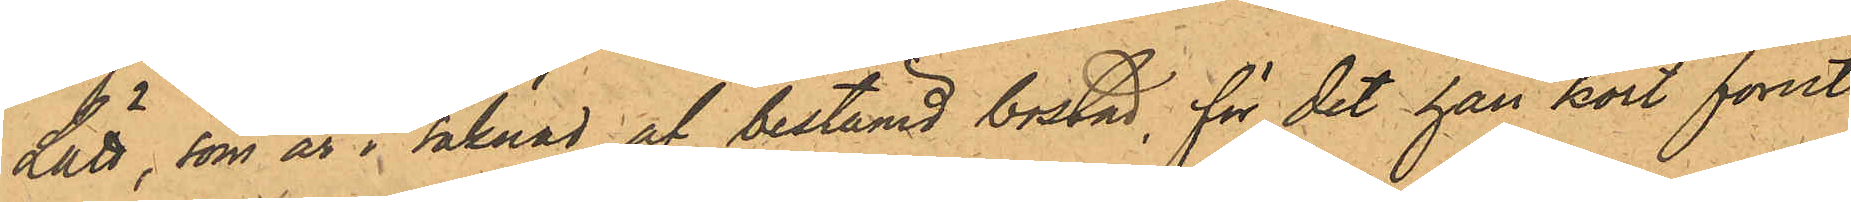Lätt, som är i saknad af bestämd bostad, för det han kort förut
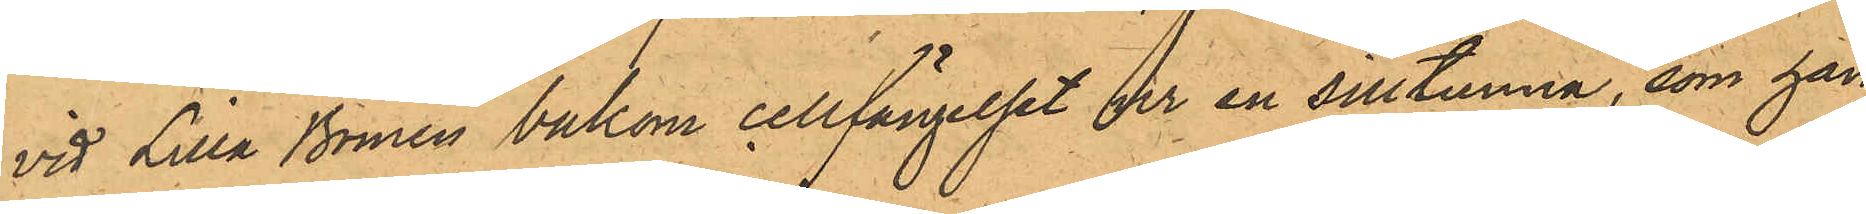vid Lilla Bomen bakom cellfängelset ur en silltunna, som han
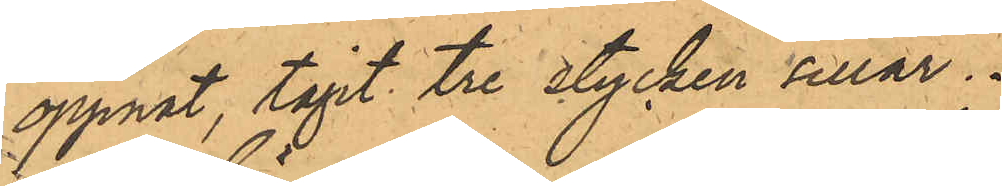öppnat, tagit tre stycken sillar.
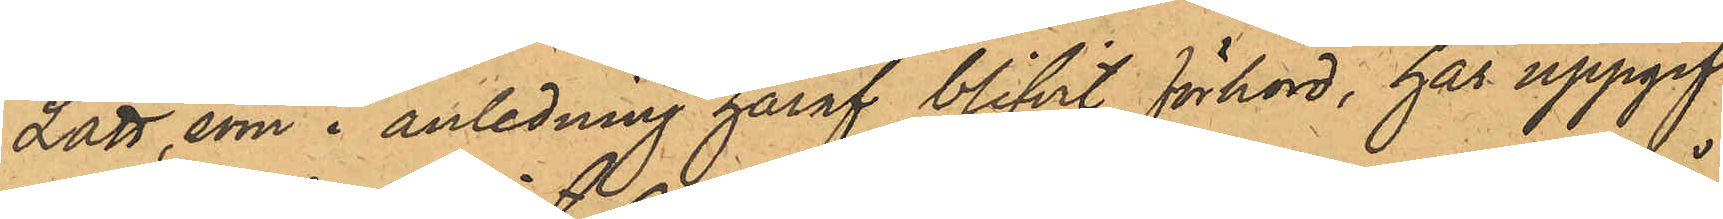Lätt, som i anledning häraf blifvit förhörd, har uppgif¬
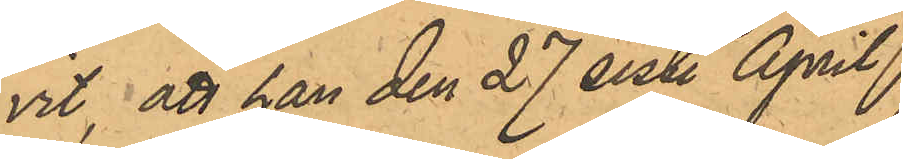vit, att han den 27 sist. April 
